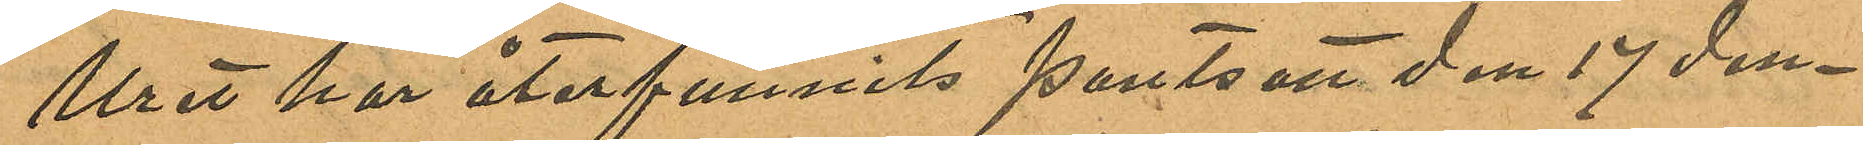Uret har återfunnits pantsatt den 17 den¬
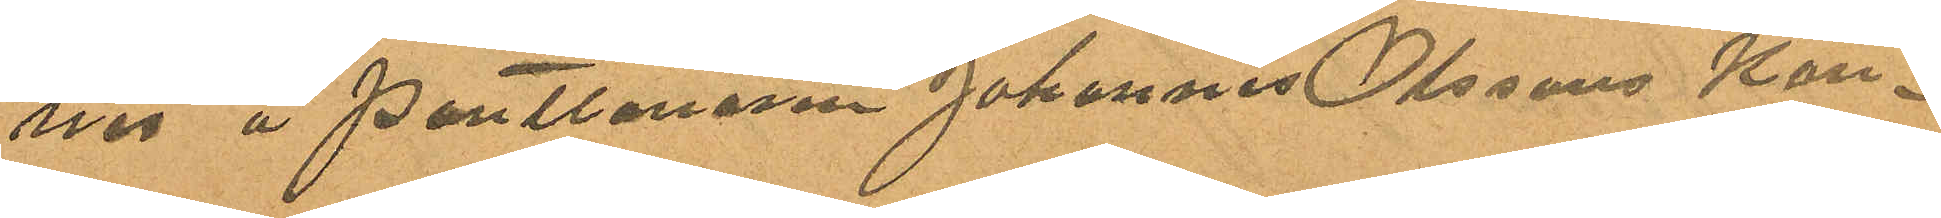nes å Pantlånaren Johannes Olssons Kon¬
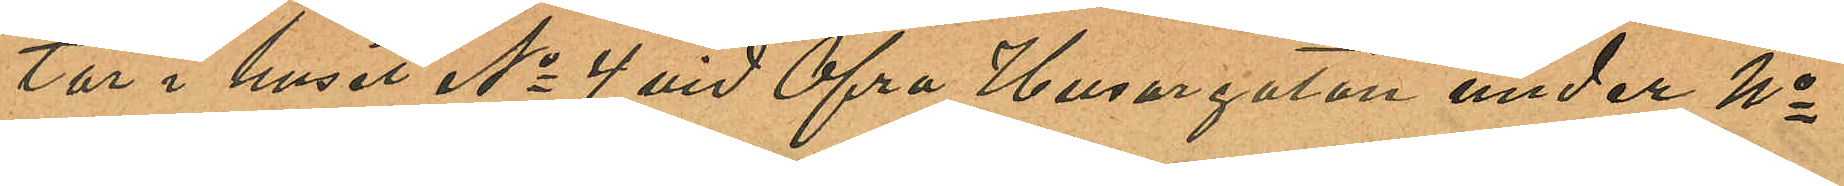tor i huset No 4 vid Öfra Husargatan under No
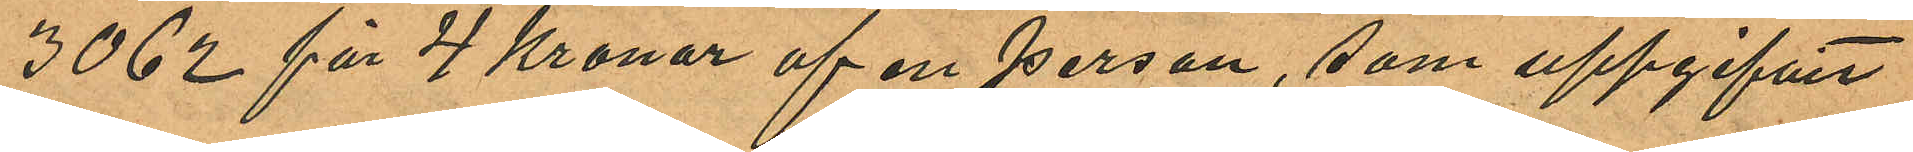3062 för 4 Kronor af en person, som uppgifvit
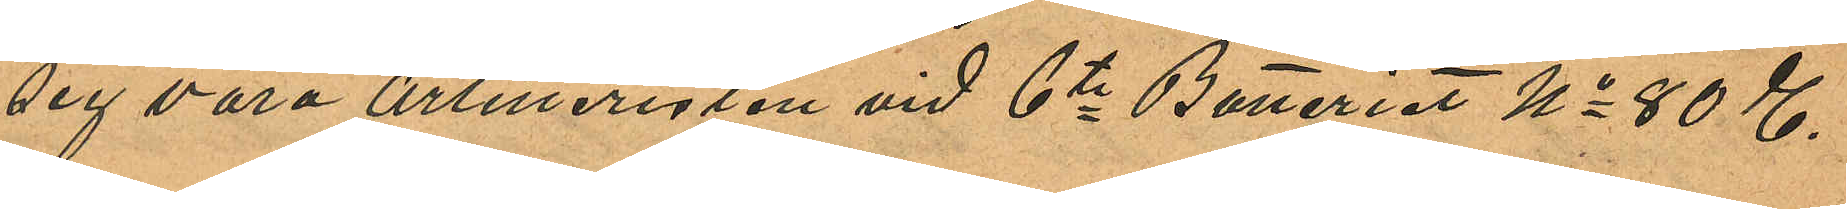sig vara Artilleristen vid 6te Batteriet No 80 E.
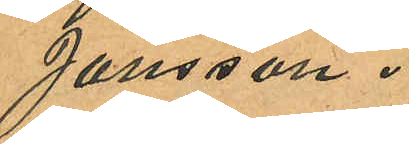Jansson.
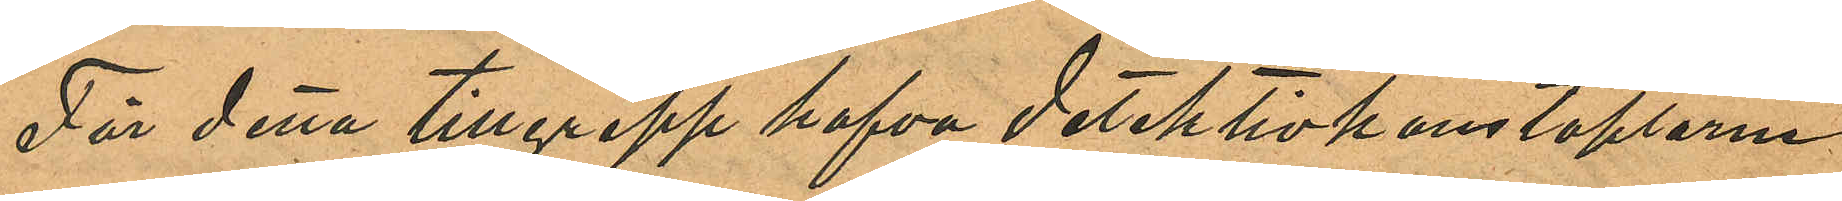För detta tillgrepp hafva detektivkonstaplarne
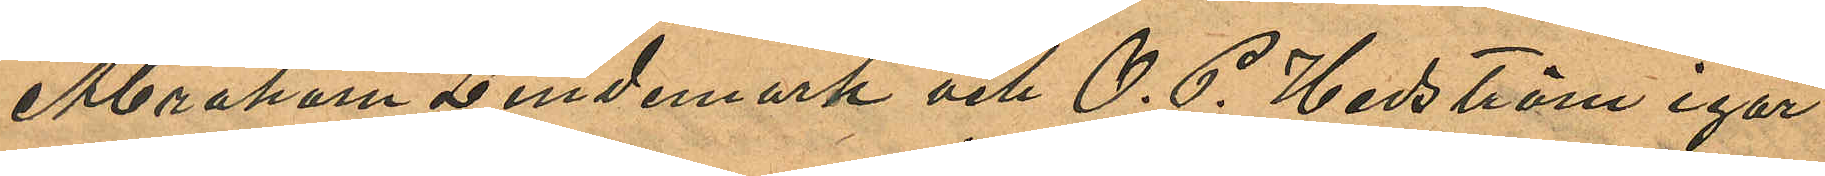Abraham Lindemark och O. G. Hedström igår
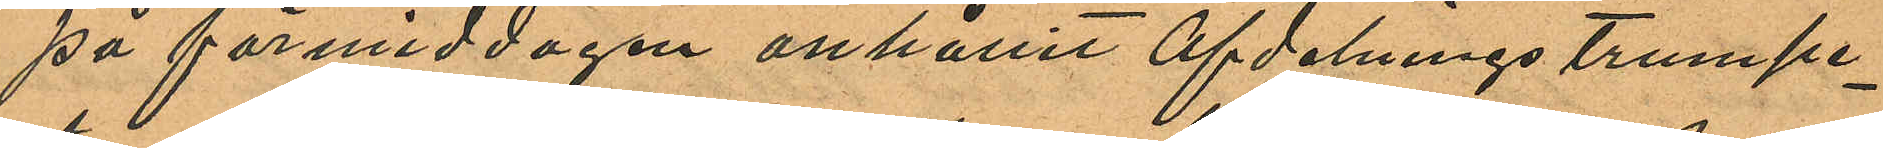på förmiddagen anhållit Afdelnings trumpe¬
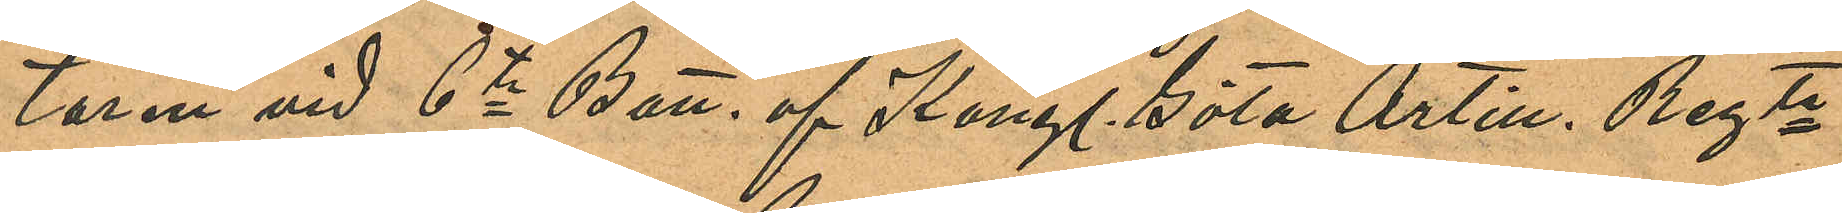taren vid 6te Batt. af Kongl. Göta Artill. Regte
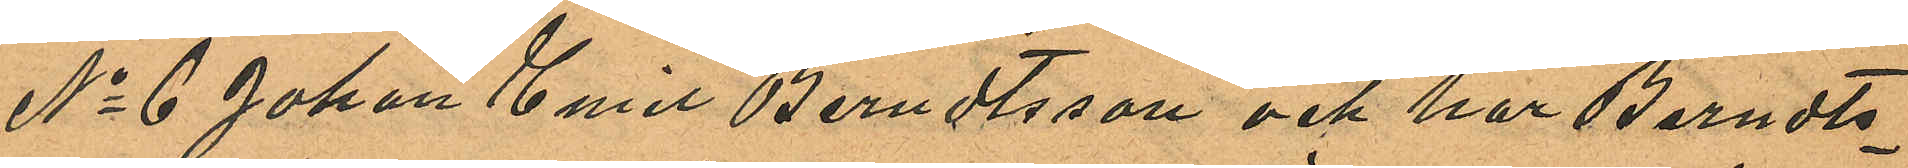No 6 Johan Emil Berndtsson och har Berndts¬
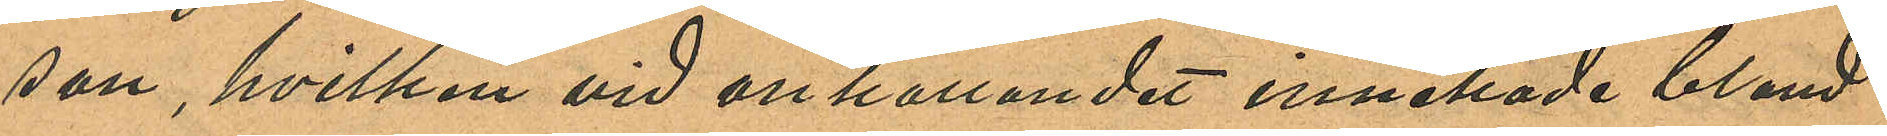son, hvilken vid anhållandet innehade bland
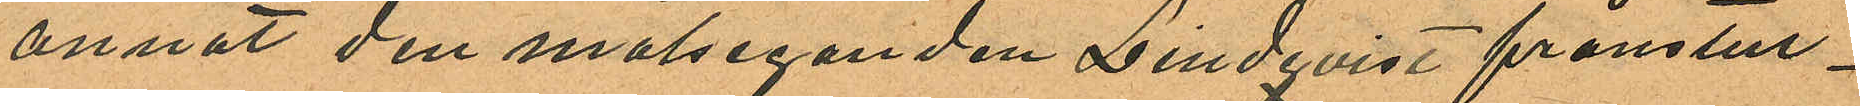annat den målseganden Lindqvist frånstul¬
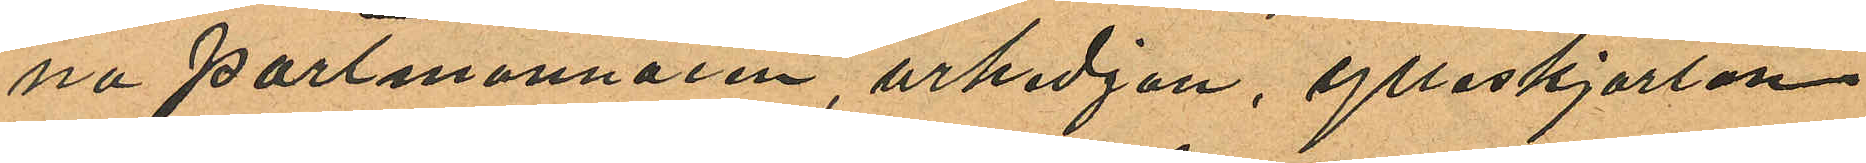na portemonnaien, urkedjan, ylleskjortan
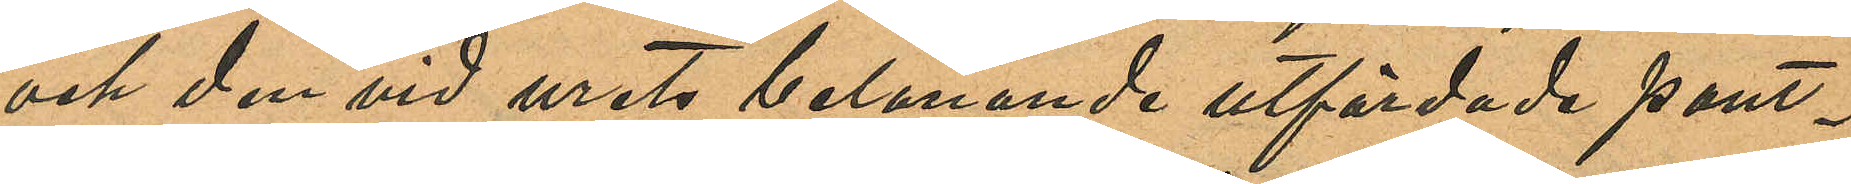och den vid urets belånande utfärdade pant¬
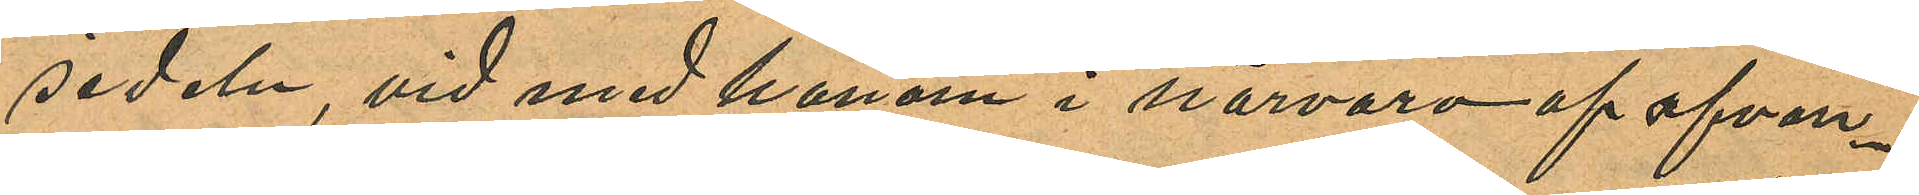sedeln, vid med honom i närvaro af ofvan¬
